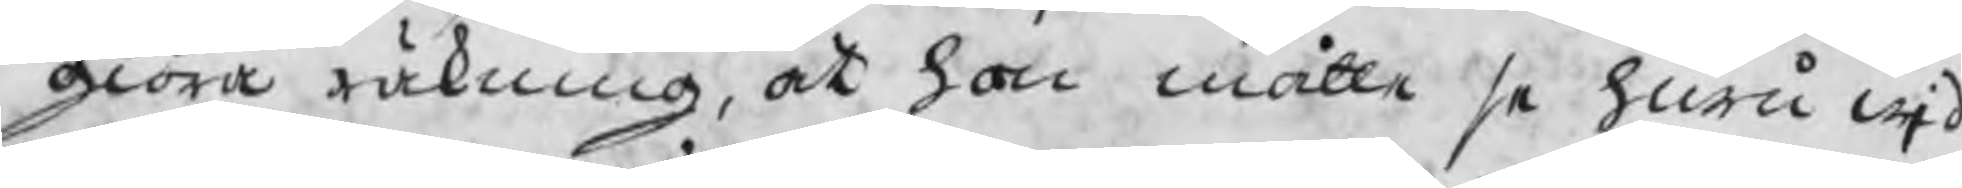giöra räkning, at hon måtte se huru wid
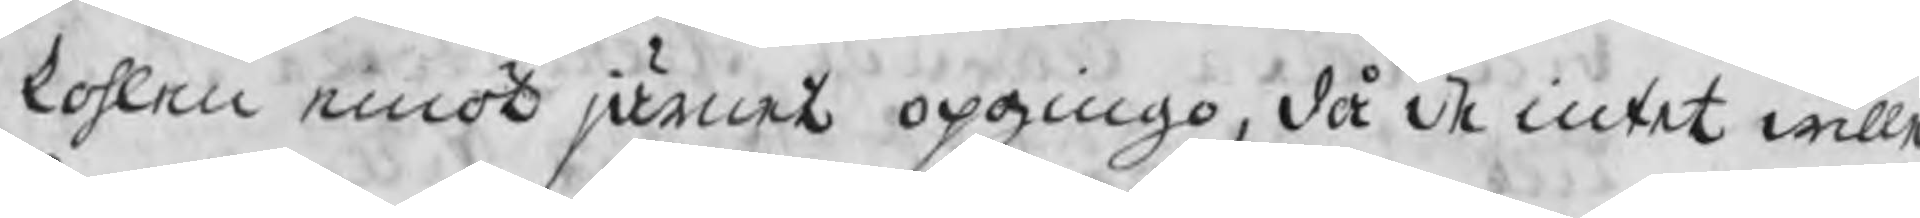kohlen emot järnet opgingo, då de intet wille
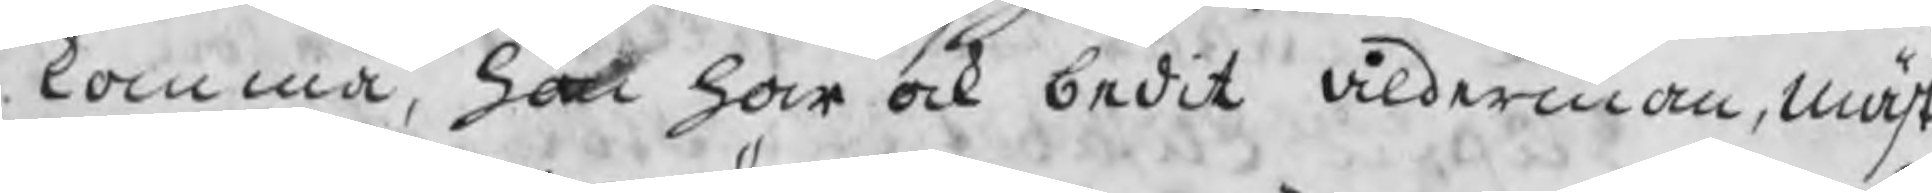komma, hon har ock bedit ålderman, mäst.
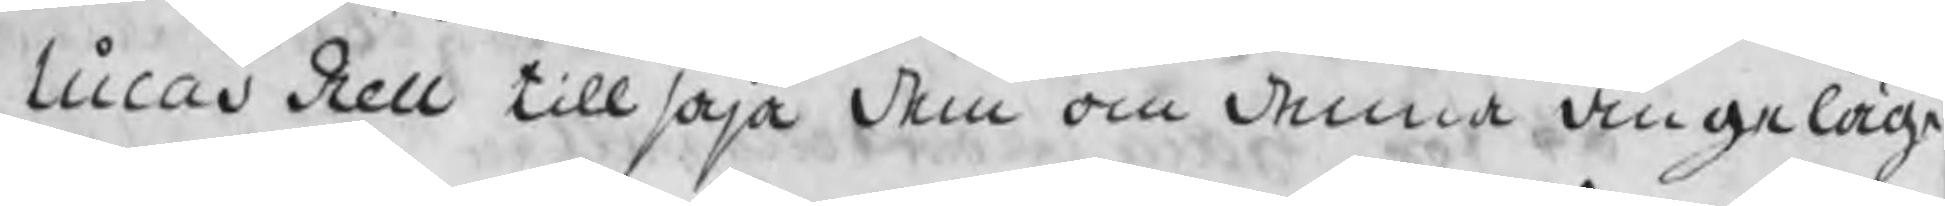Lucas Rell tillsäja dem om denna angeläge
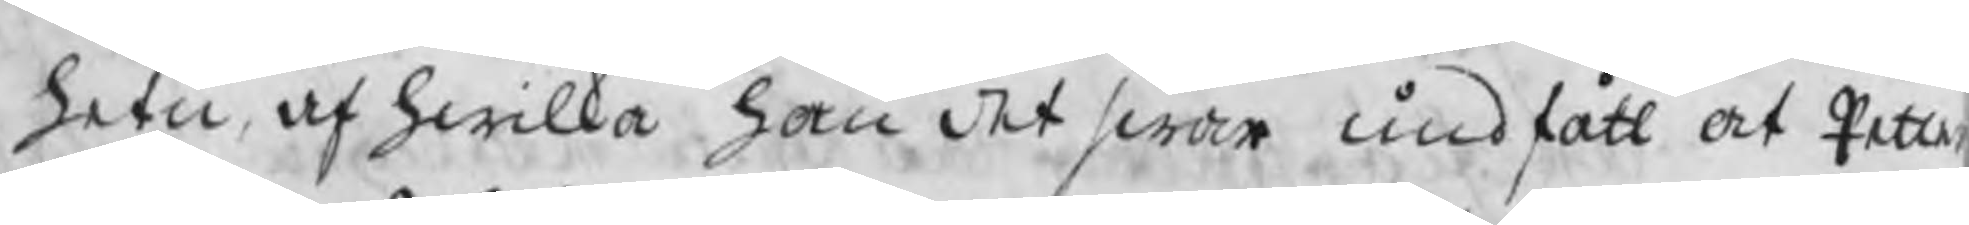hetn af hwilka hon det swar undfått at Petter
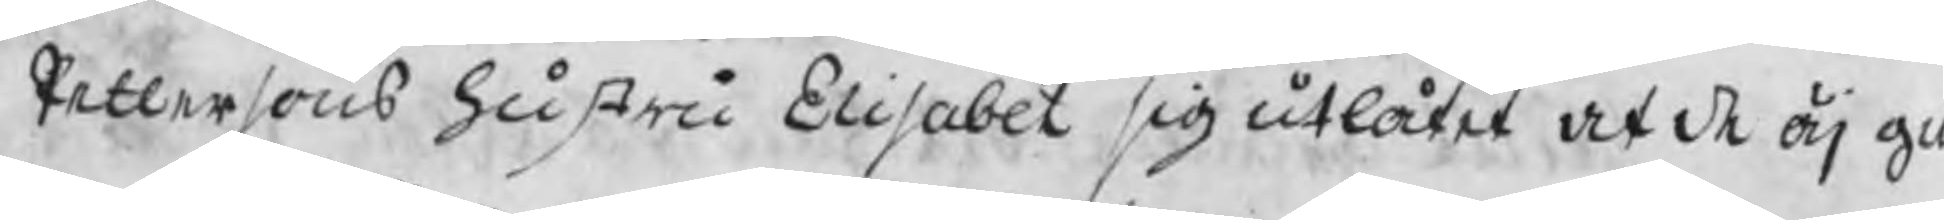Pettersons hustru Elisabet sig utlåtiet at de äj g
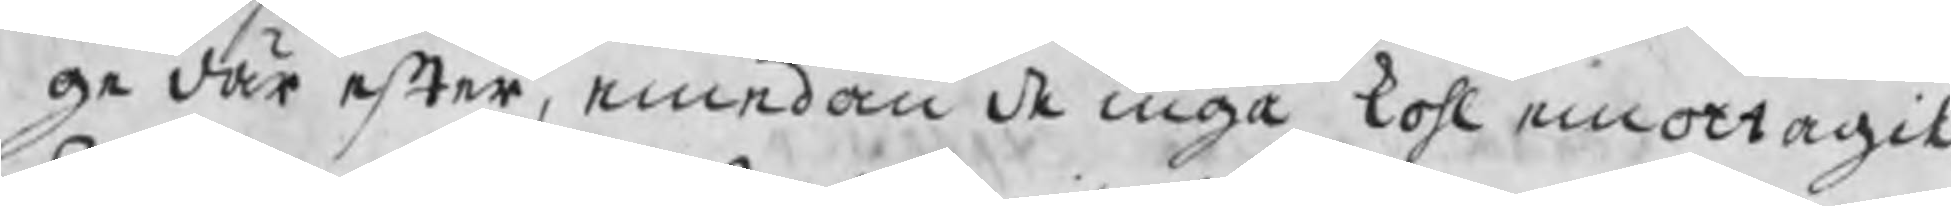ge där efter, emedan de inga kohl emottagit.
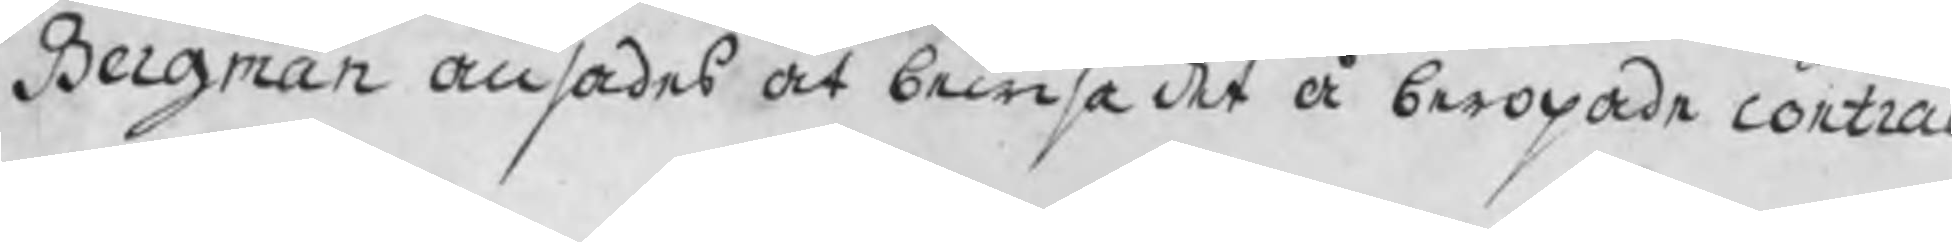Bergman ansades at bewisa det å beropade contrac
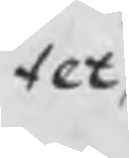tet,
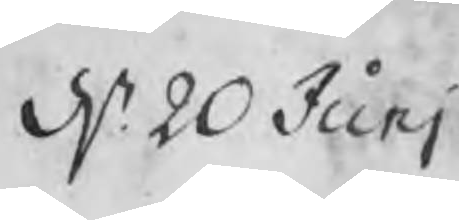d. 20 Junj
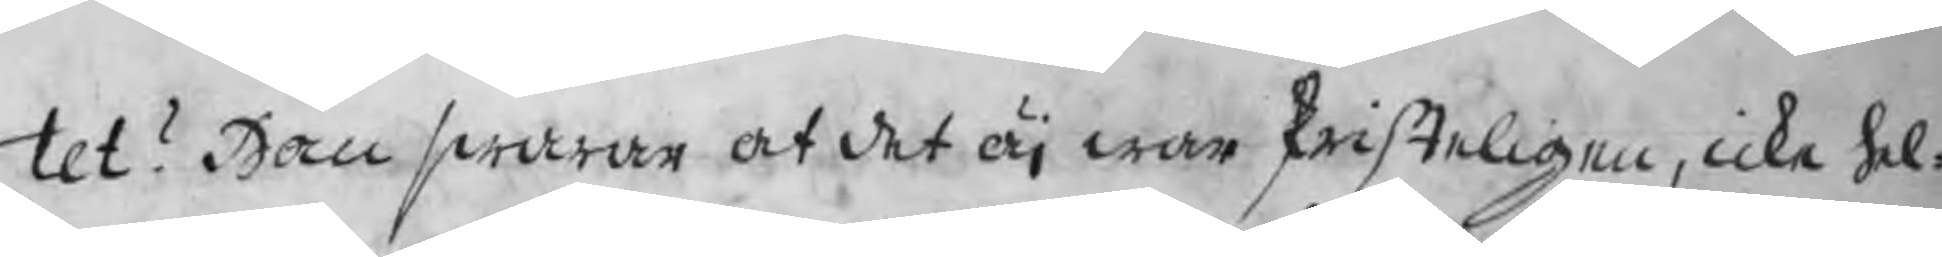tet? Han swarar at det äj war skrifteligen, icke hel¬
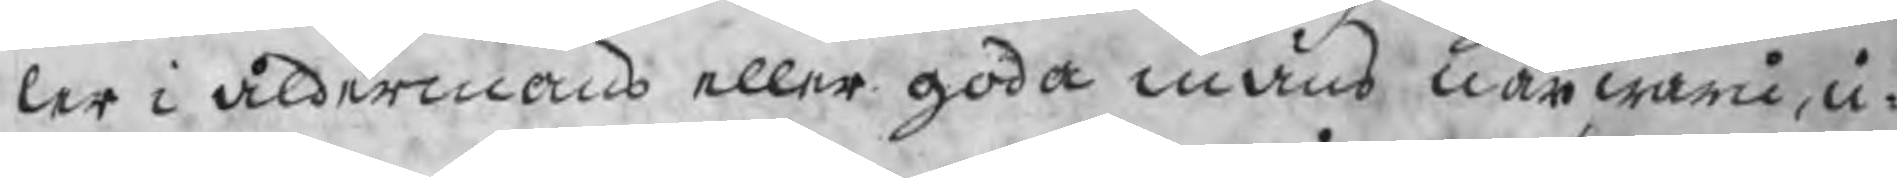ler i åldermans eller goda mäns närwaru, u¬
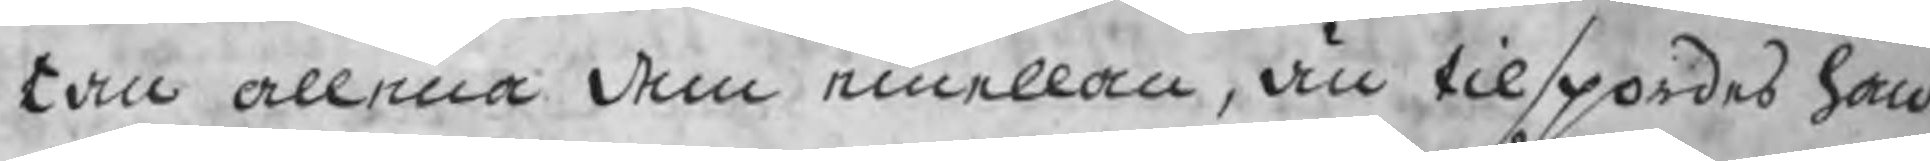tan allena dem emellan, än tilspordes han
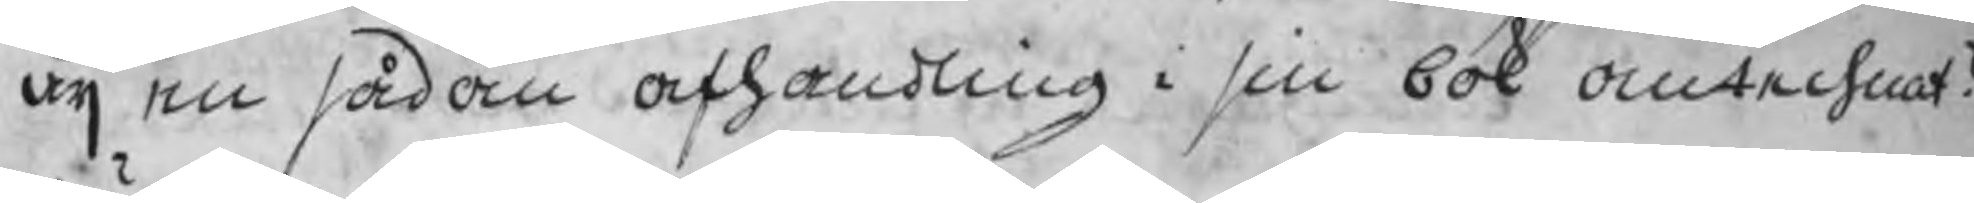äj en sådan afhandling i sin bok antechnat?
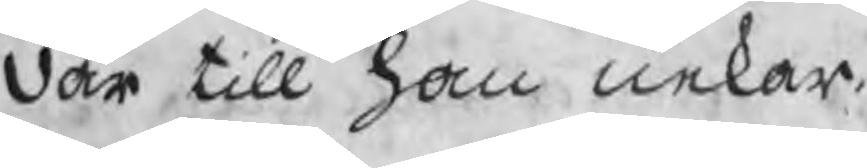där till han nekar.
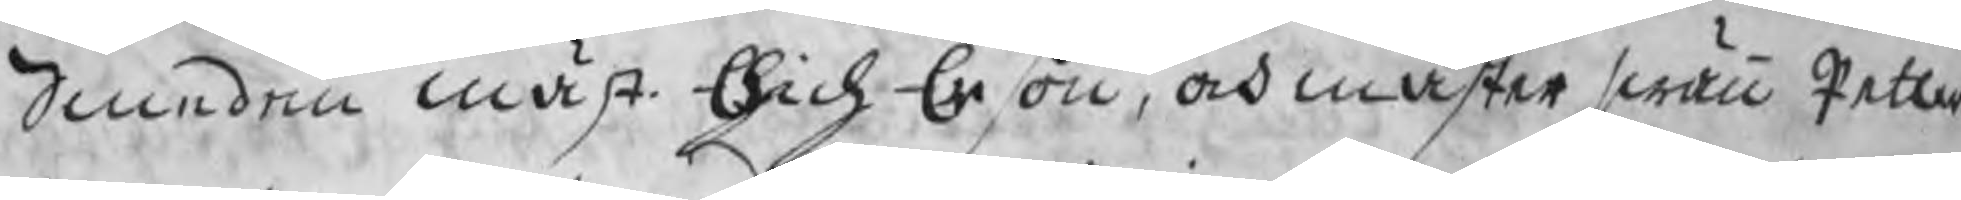Smeden mäst. Erich Erßon, och mäster swän Petter
